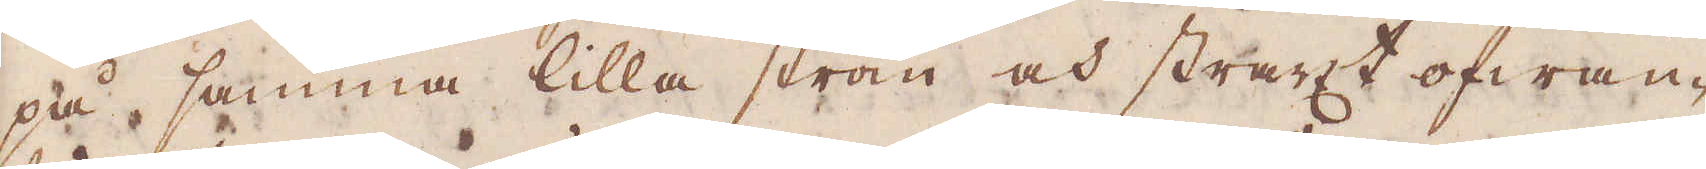på samma lilla ström och straxt ofwan-
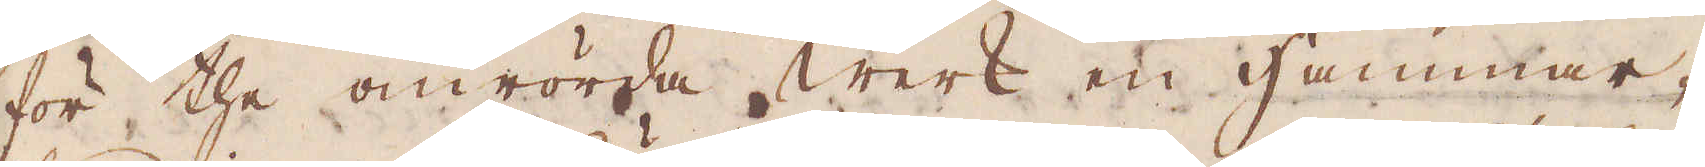för the omrörde Werk en Hammar-
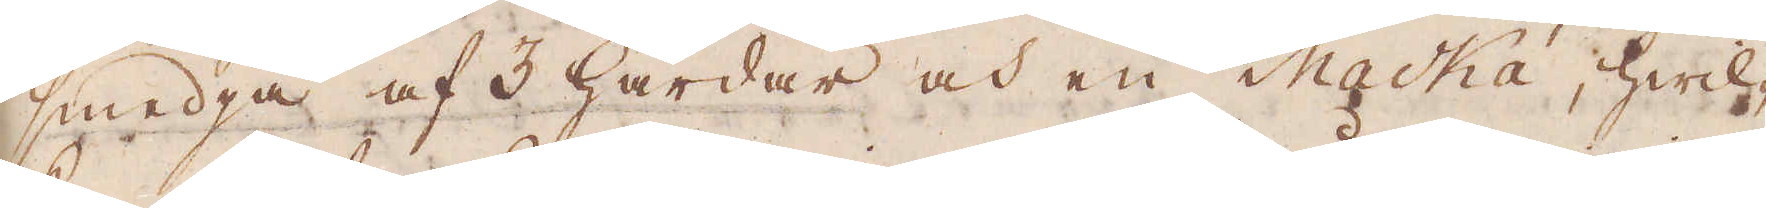smedja af 3 Härdar och en Macká, hwil-
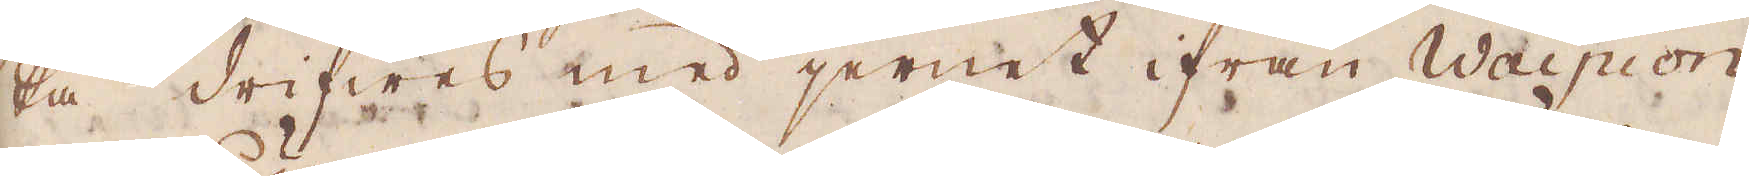ka drifwes med jernet ifrån Waipion
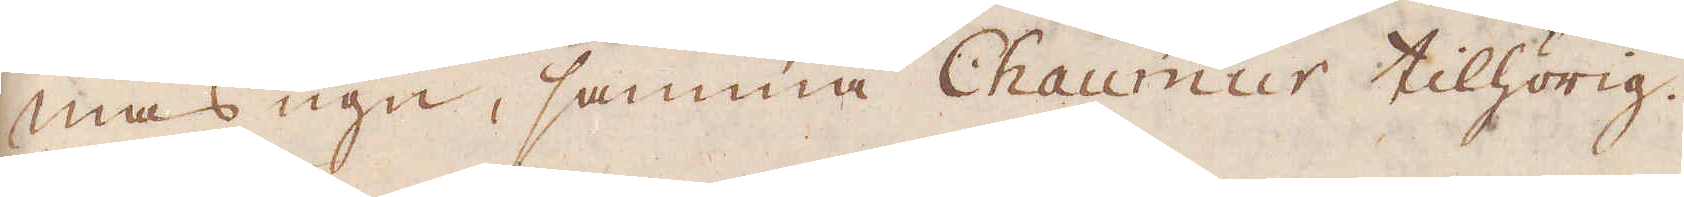masugn, sammt Chaumur tilhörig.
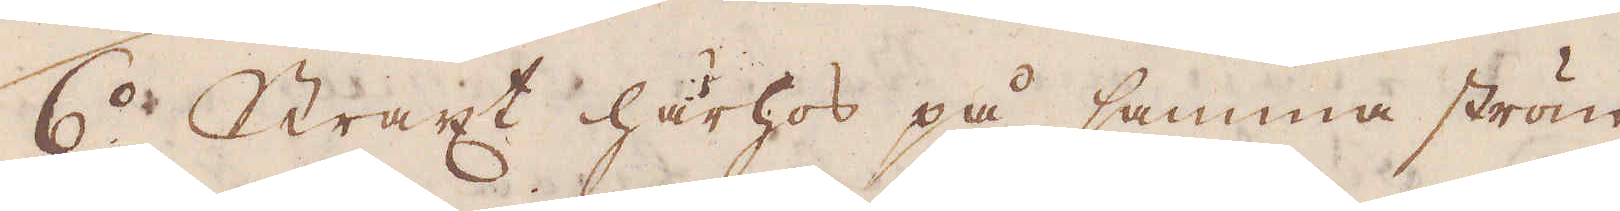6:o. Straxt härhos på samma ström
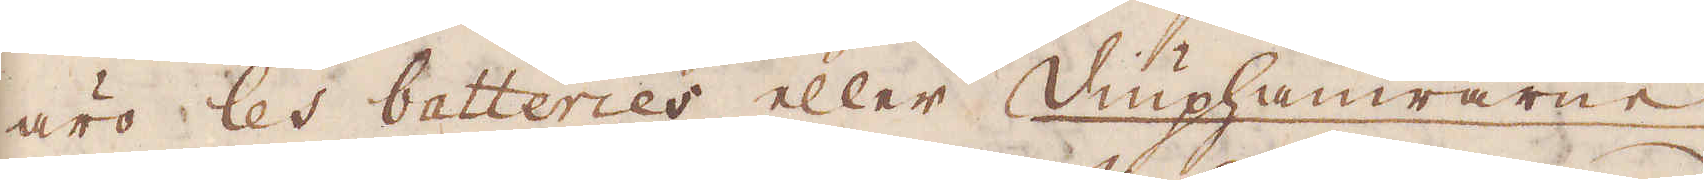äro les batteries eller Diuphamrarne
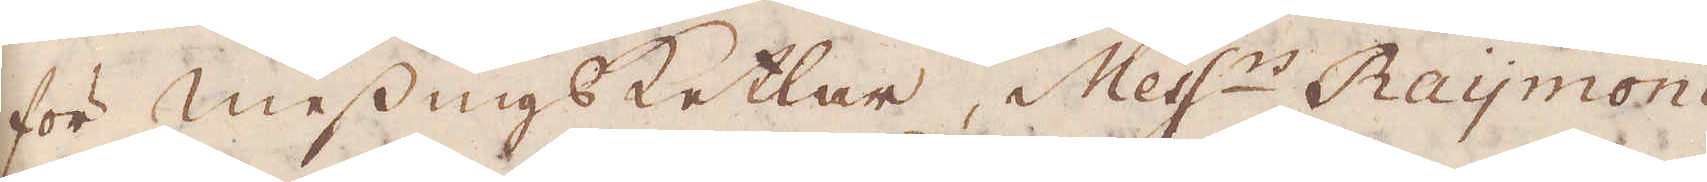för Messings Ketlar, Mess:r Raymond
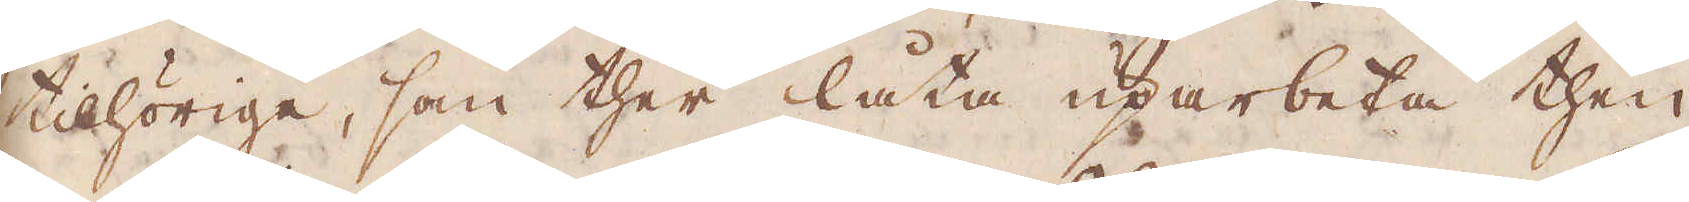tilhörige, som ther låta uparbeta then
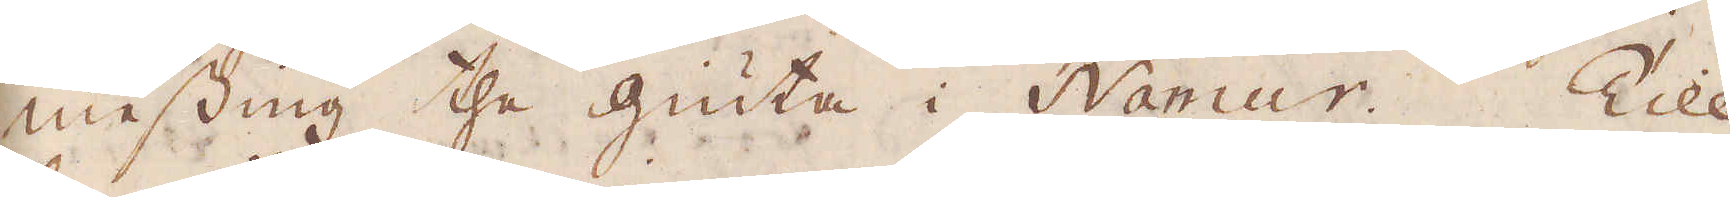messing the giuta i Namur. Till
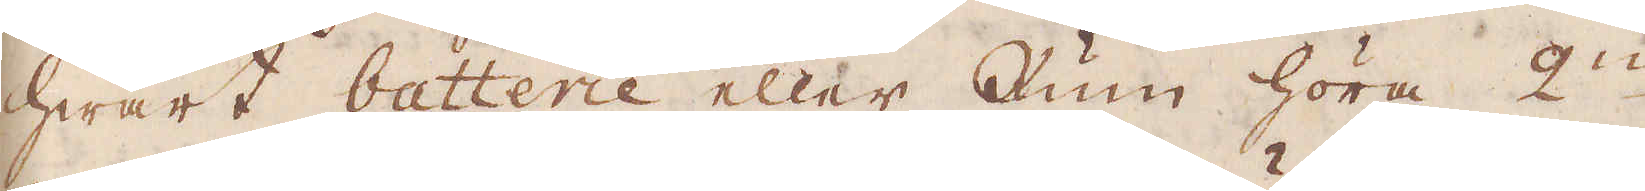hwart batterie eller Rum höra 2:ne
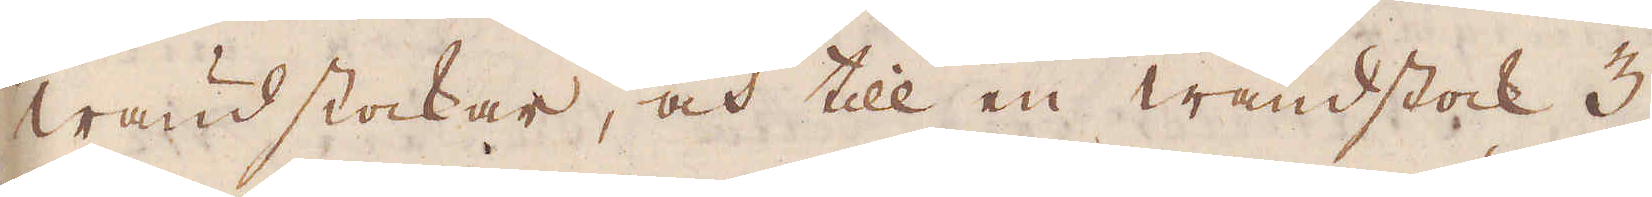wändstockar, och till en wändstock 3
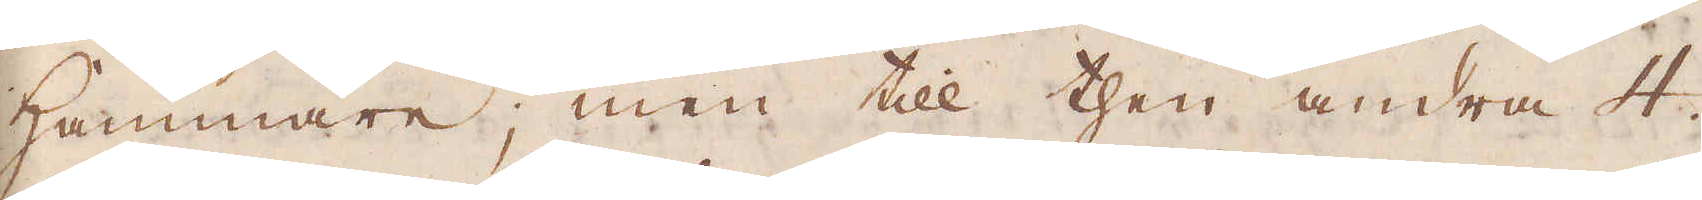Hammare; men till then andra 4.
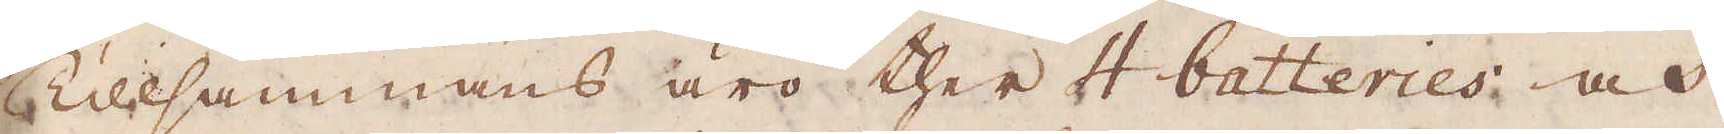Tillsammans äro ther 4 batteries och
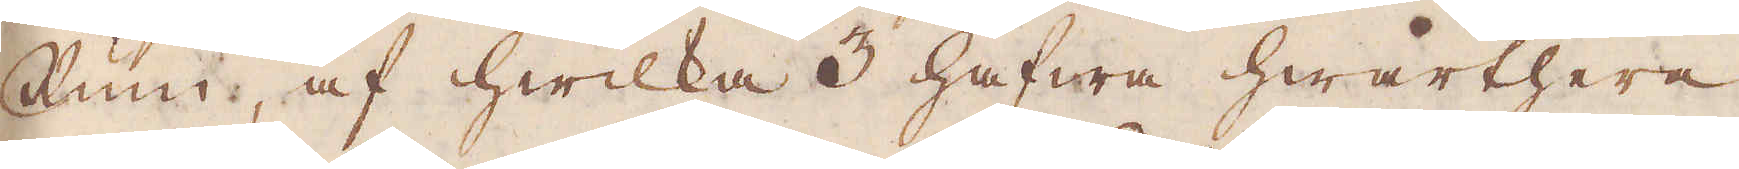Rum, af hwilka 3 hafwa hwarthera
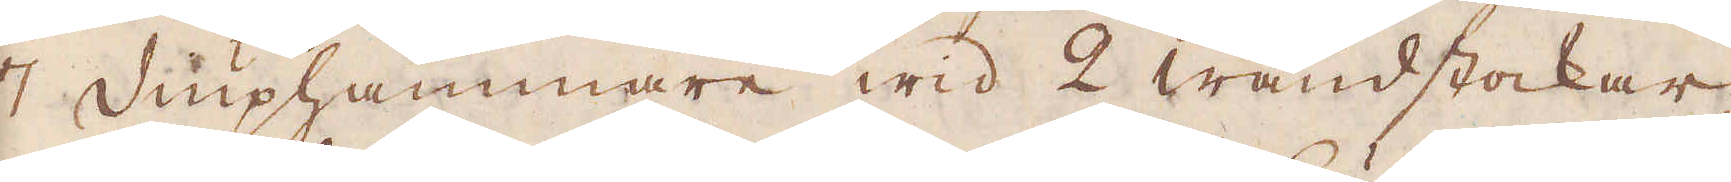7 Diuphammare wid 2 wändstockar;
